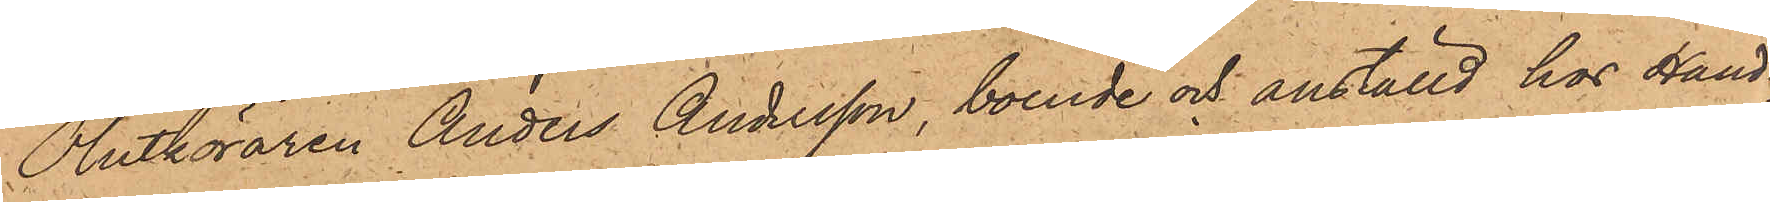Ölutköraren Anders Andersson, boende och anställd hos Hand¬
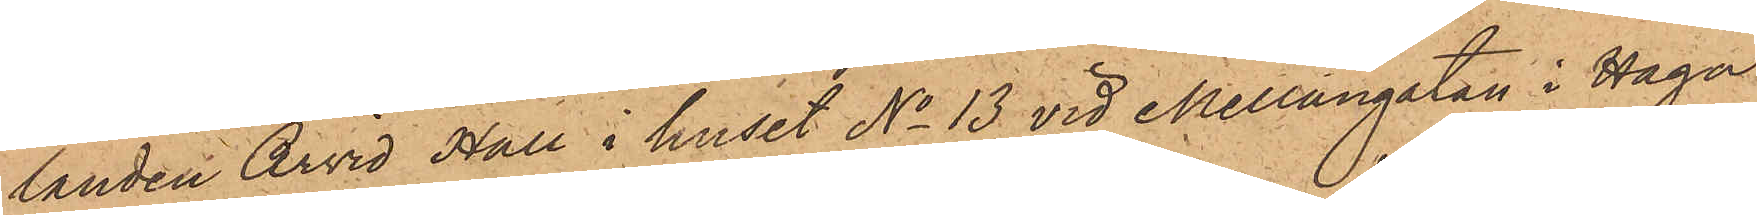landen Arvid Hall i huset No 13 vid Mellangatan i Haga
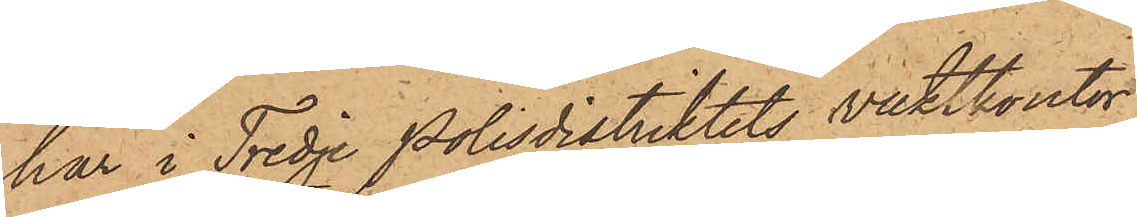har i Tredje Polisdistriktets vaktkontor
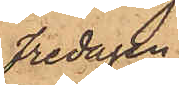Fredagen
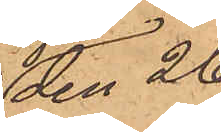den 26
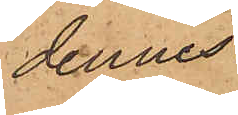dennes
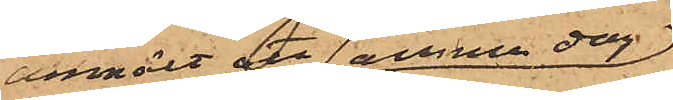anmält att denna dag
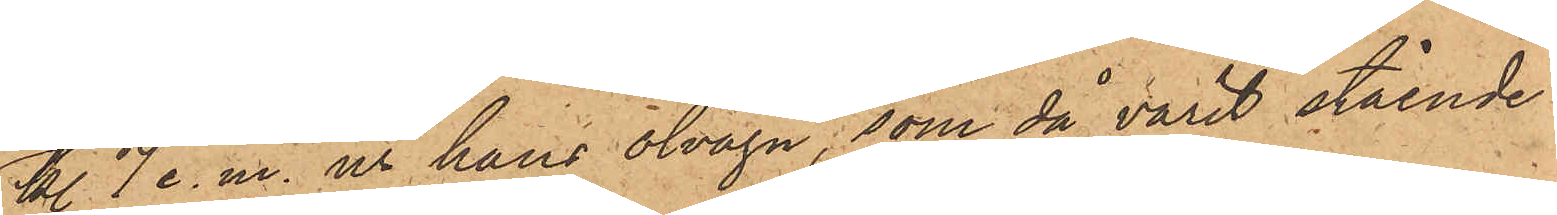kl. 7 e. m. ur hans ölvagn, som då varit stående
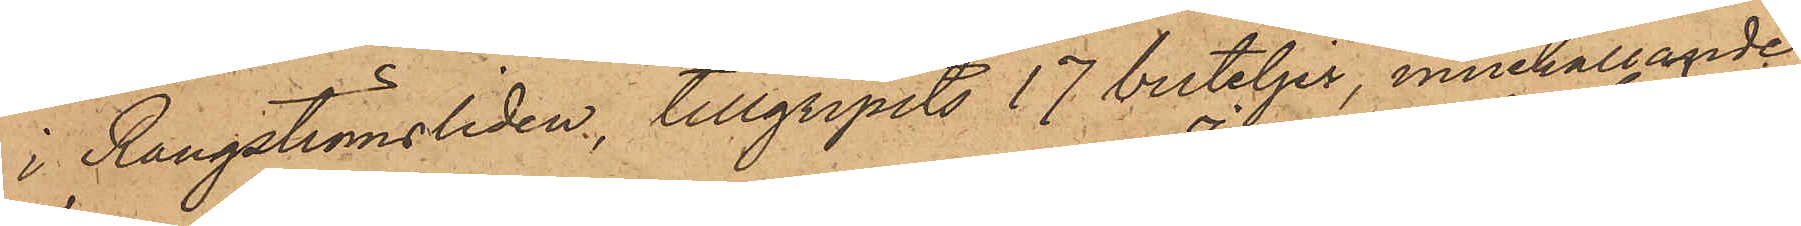i Rangströmsliden, tillgripits 17 buteljer, innehållande
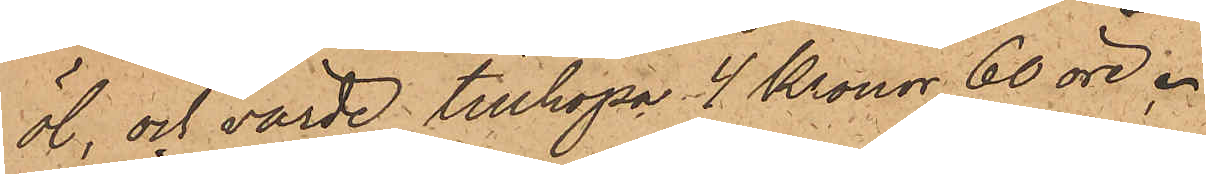öl, och värde tillhopa 4 Kronor 60 öre.
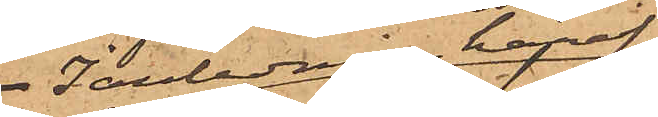I anledning häraf
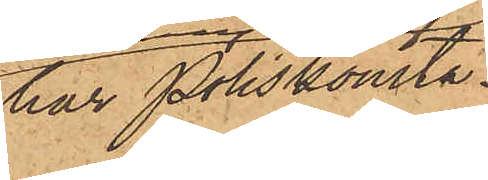har Poliskonsta¬
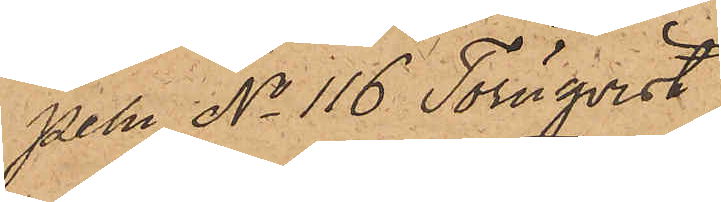peln No 116 Törnqvist
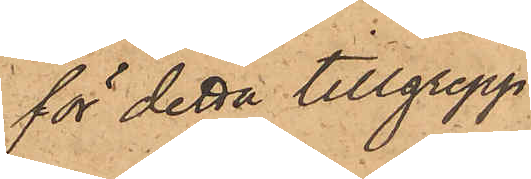för detta tillgrepp.
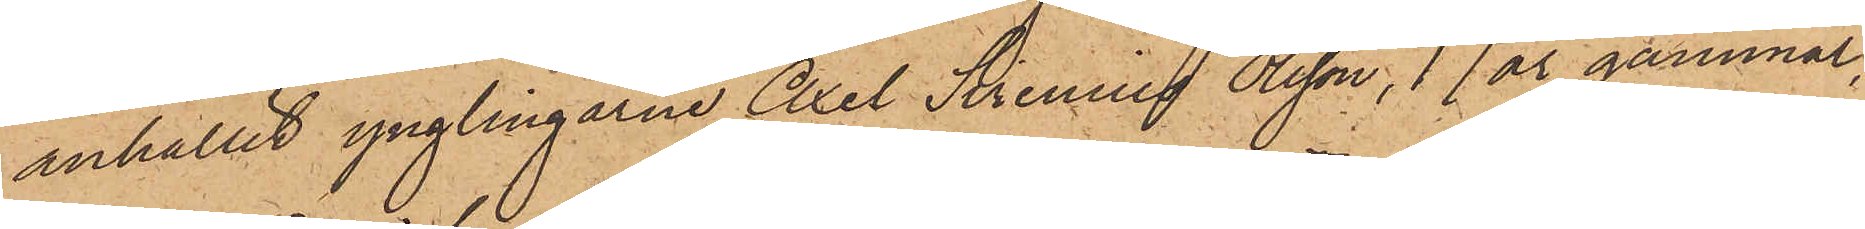anhållit ynglingarne Axel Sirenius Olsson, 17 år gammal,
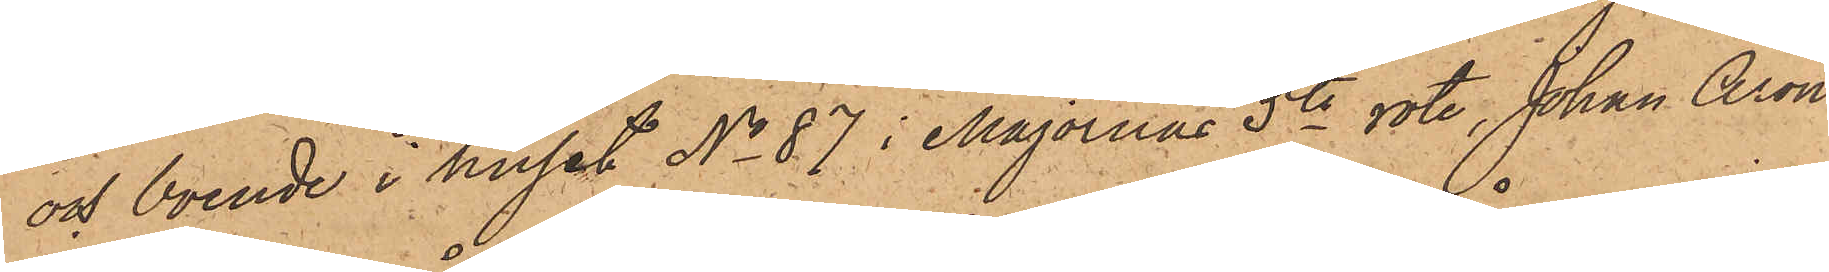och boende i huset No 87 i Majornas 5te rote, Johan Aron
